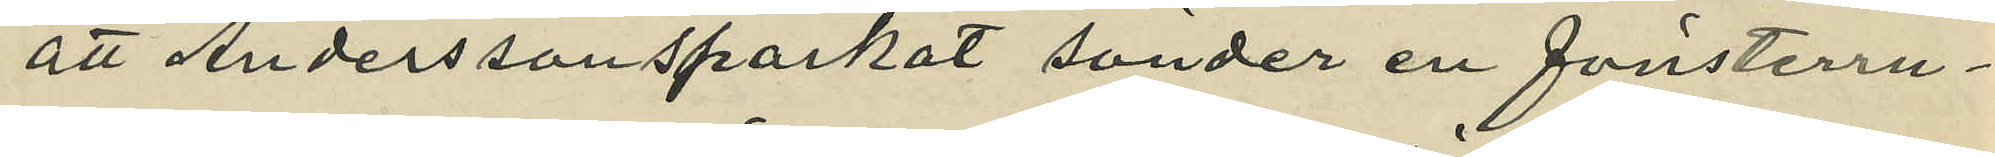att Andersson sparkat sönder en fönsterru¬
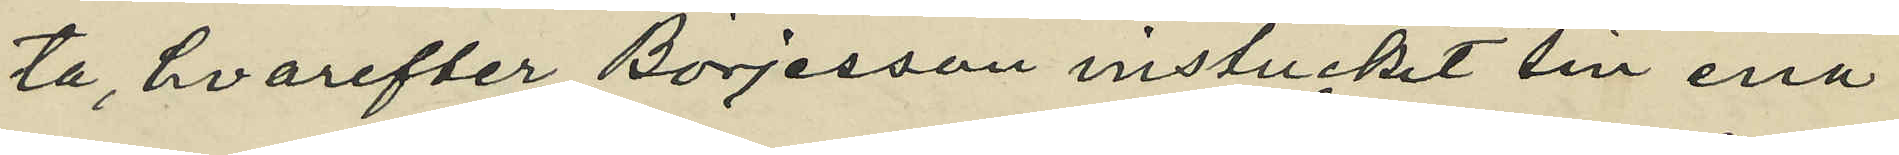ta, hvarefter Börjesson instuckit sin ena
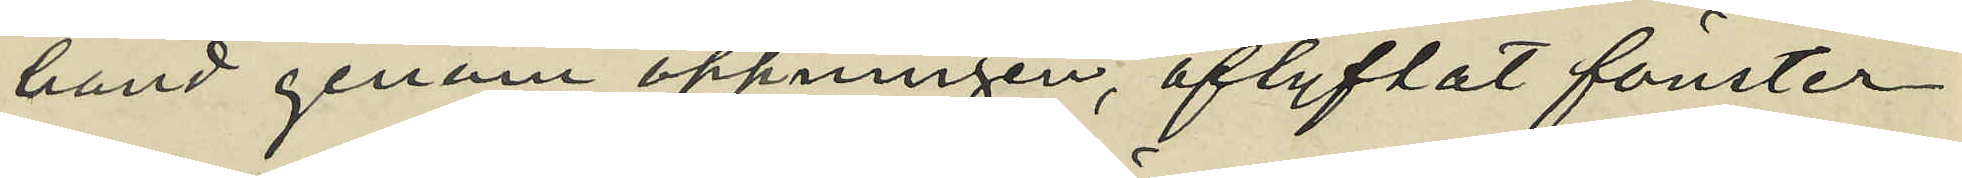hand genom öppningen, aflyftat fönster¬
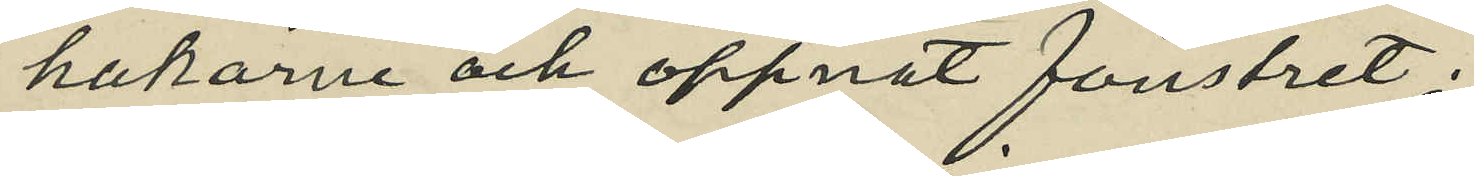hakarne och öppnat fönstret;
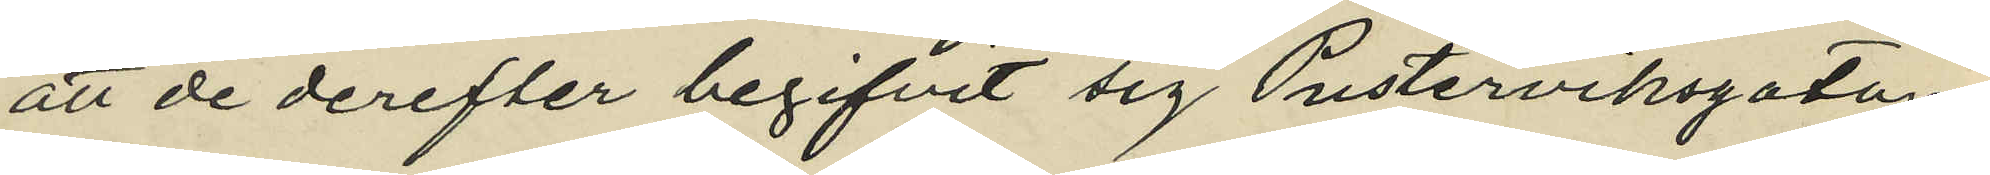att de derefter begifvit sig Pusterviksgatan
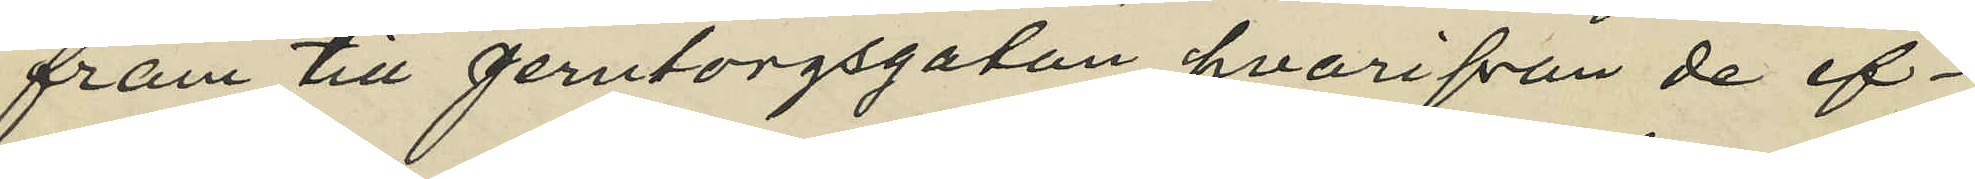fram till Jerntorgsgatan hvarifån de ef¬
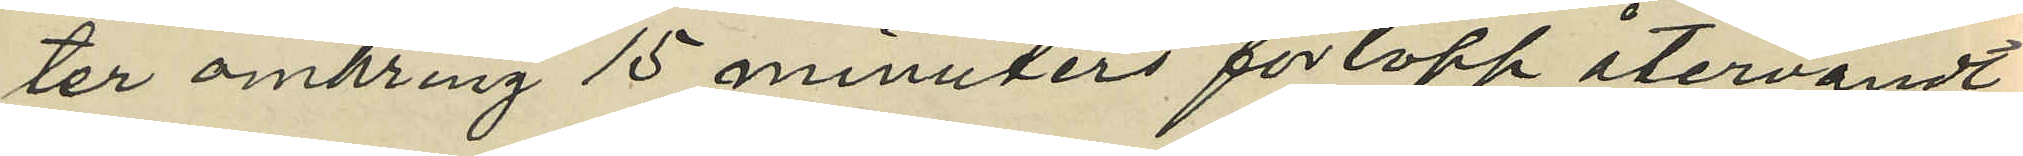ter omkring 15 minuters förlopp återvändt
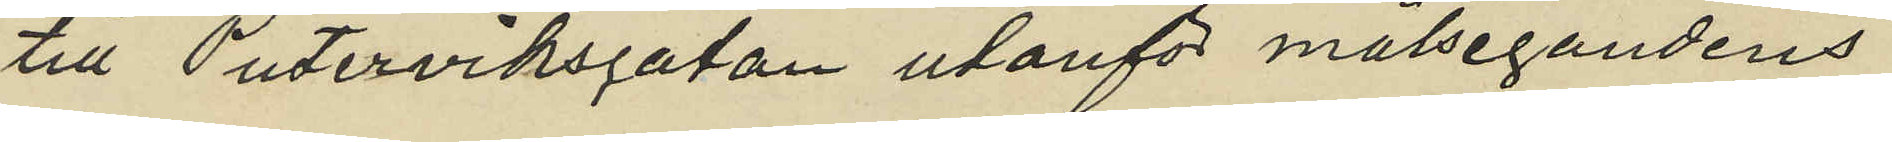till Pusterviksgatan utanför målsegandens
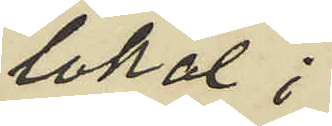lokal;
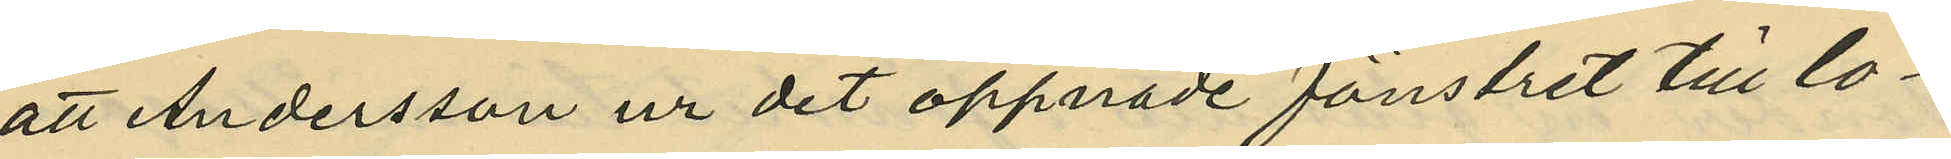att Andersson ur det öppnade fönstret till lo¬
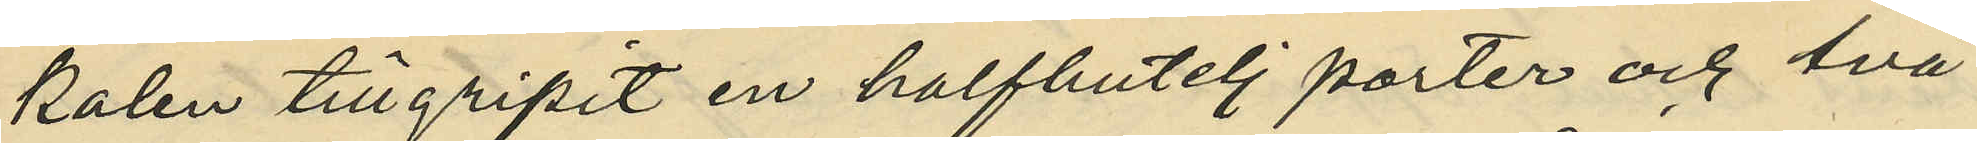kalen tillgripit en halfbutelj porter och två
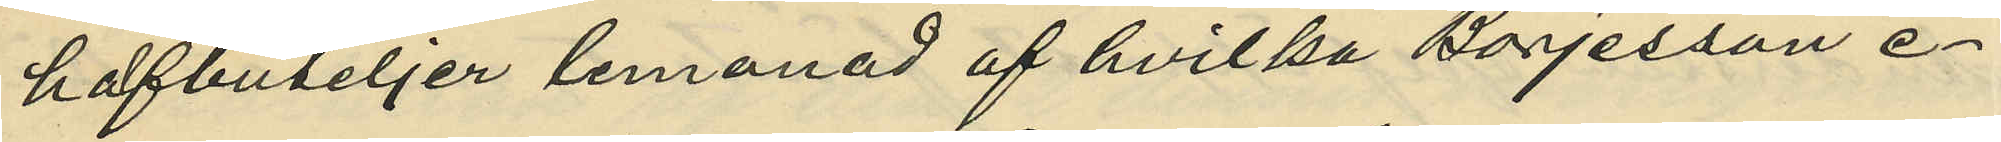halfbuteljer lemonad af hvilka Börjesson e¬
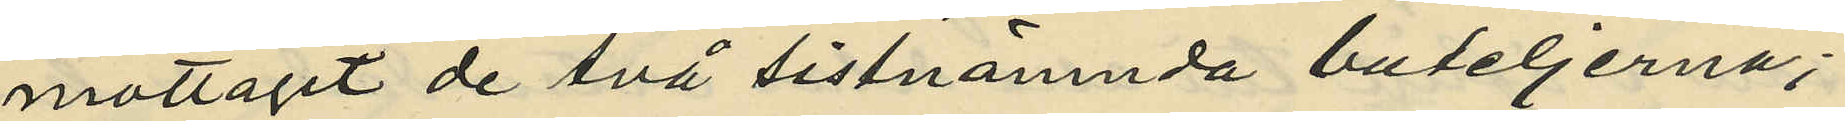mottagit de två sistnämnda buteljerna;
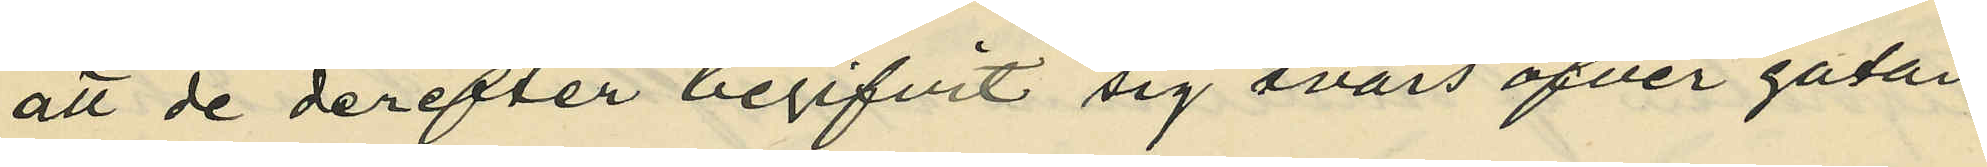att de derefter begifvit sig tvärs öfver gatan
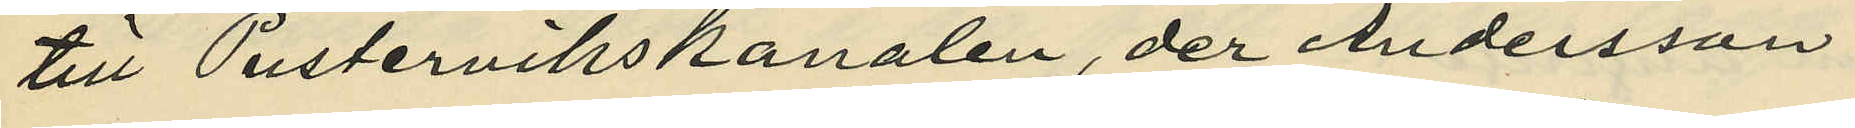till Pustervikskanalen, der Andersson
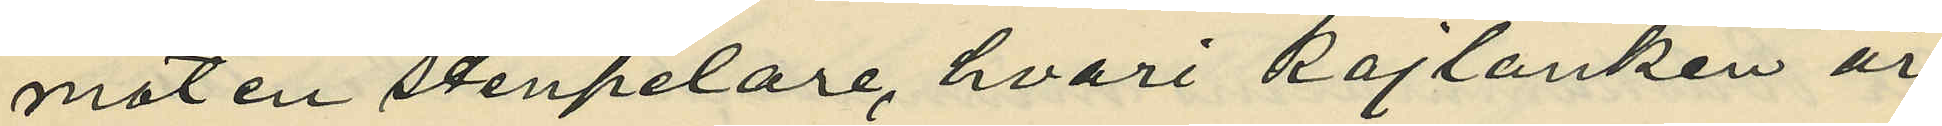mot en stenpelare, hvari kajlänken är
